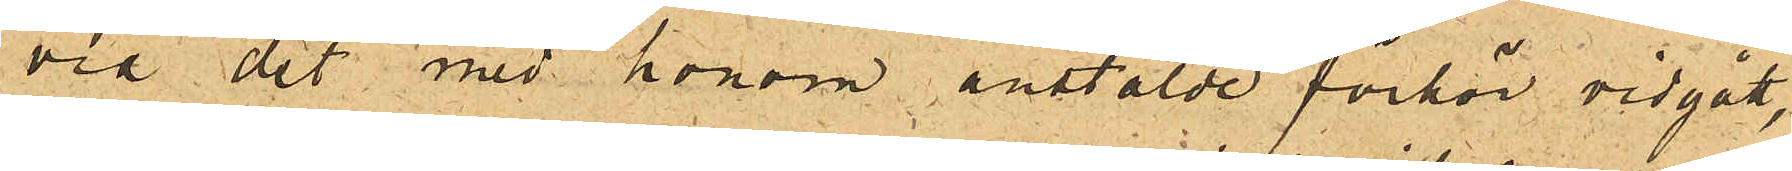vid det med honom anstälde förhör vidgått,
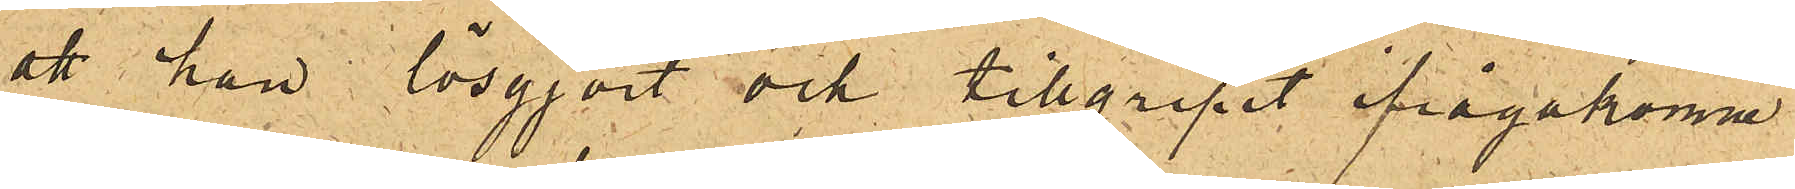att han lösgjort och tillgripit ifrågakomne
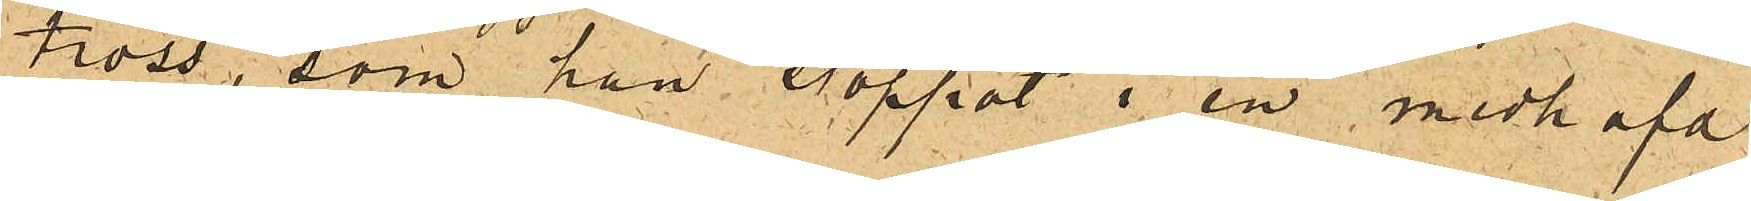tross, som han stoppat i en medhafd
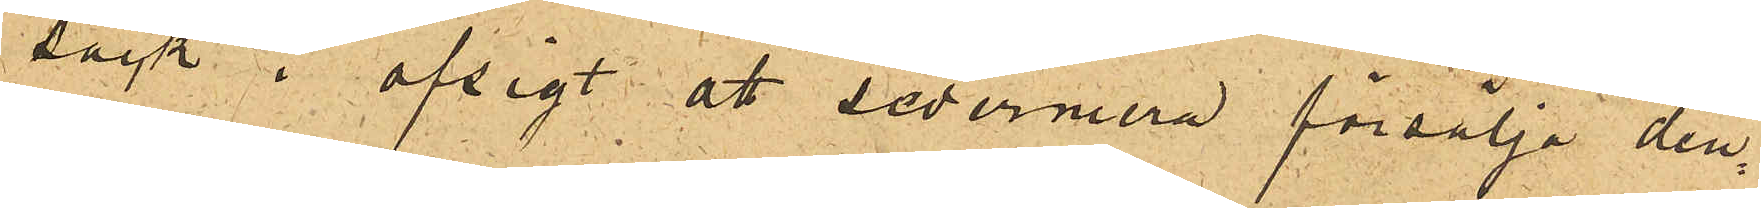säck i afsigt att sedermera försälja den¬
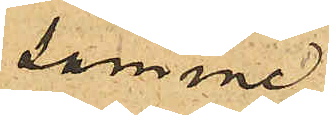samme.
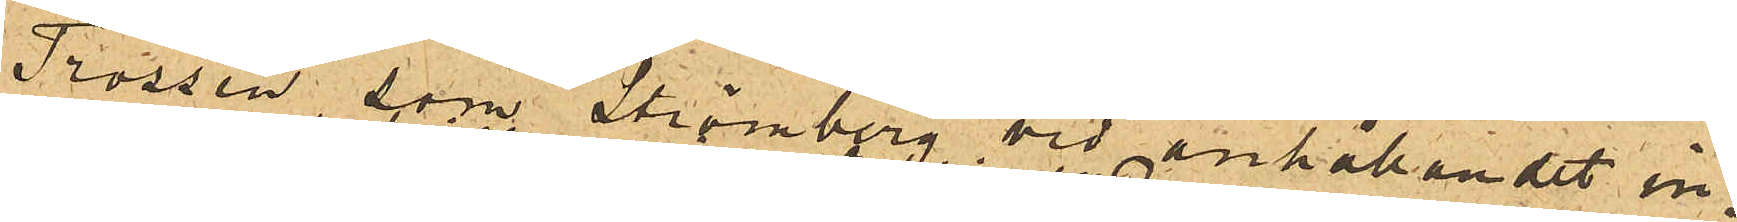Trossen som Strömberg vid anhållandet in¬
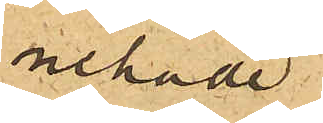nehade
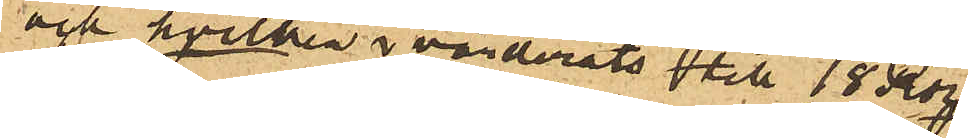och hvilken värderats till 18 Rdr
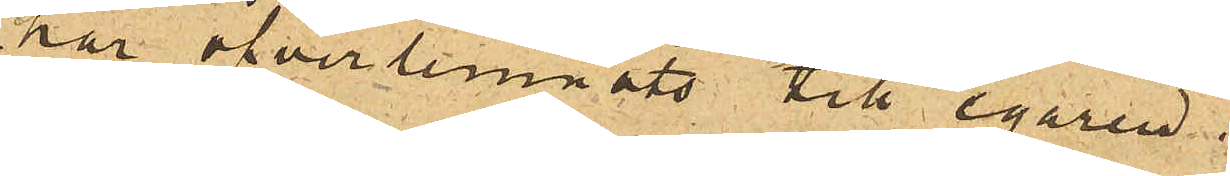har öfverlemnats till egaren.
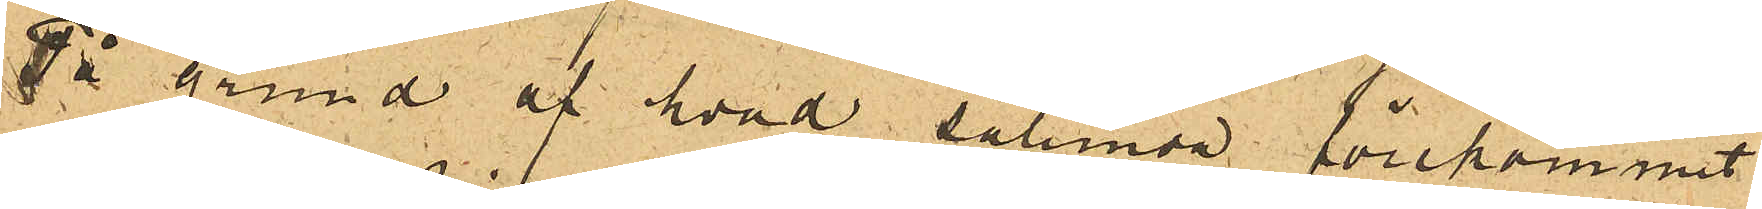På grund af hvad sålunda förekommit
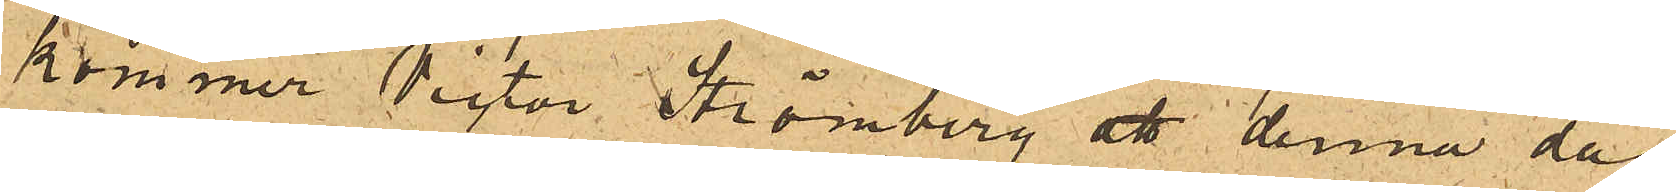kommer Victor Strömberg att denna dag
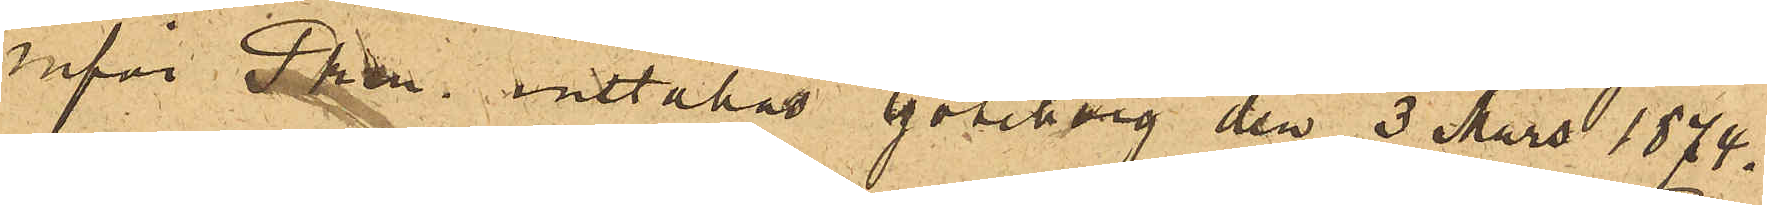inför Pkn inställas. Göteborg den 3 Mars 1874.
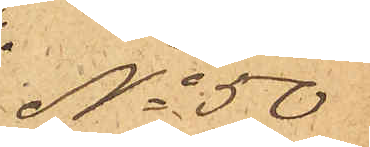No 50
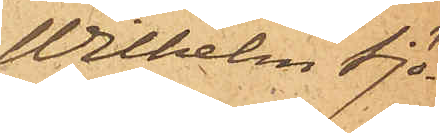Wilhelm Sjö¬
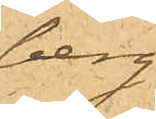berg
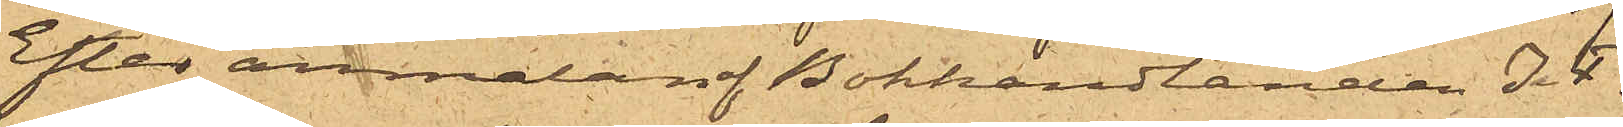Efter anmälan af Bokhandlanden J.F.
